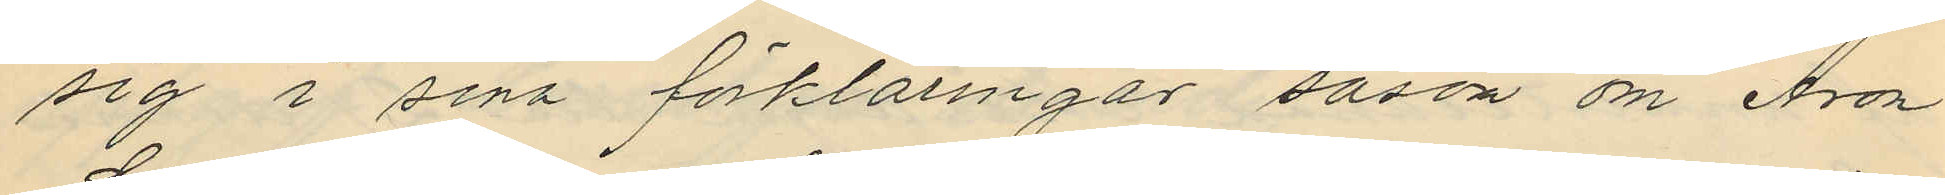sig i sina förklaringar såsom om Aron
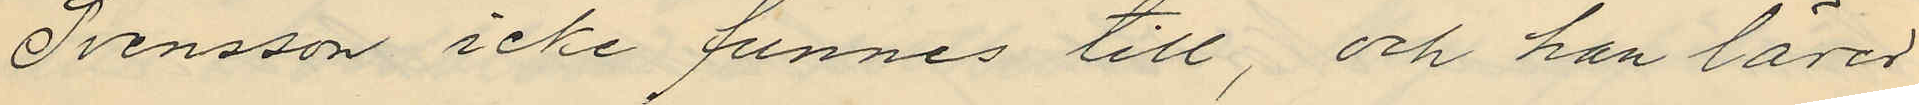Svensson icke funnes till, och han lärer
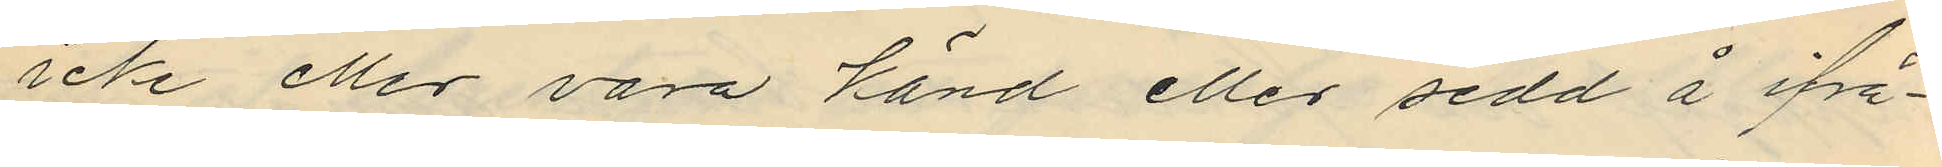icke eller vara känd eller sedd å ifrå¬
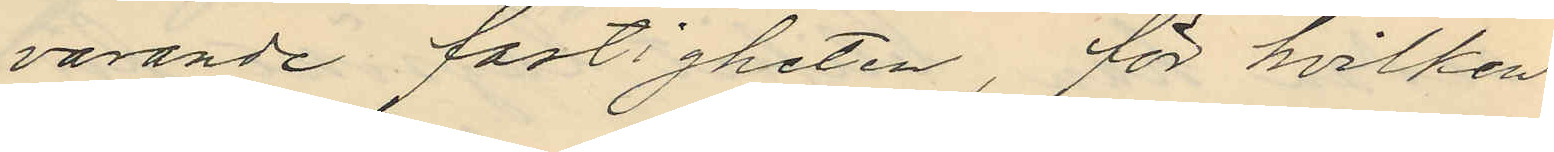gavarande fastigheten, för hvilken
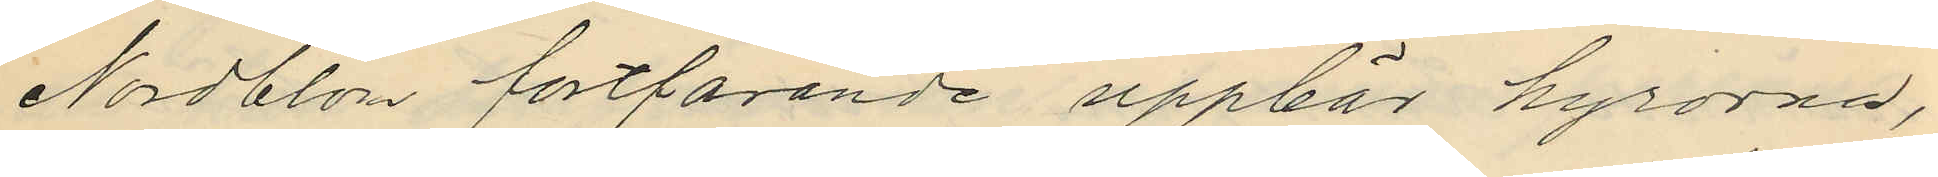Nordblom fortfarande uppbär hyrorna,
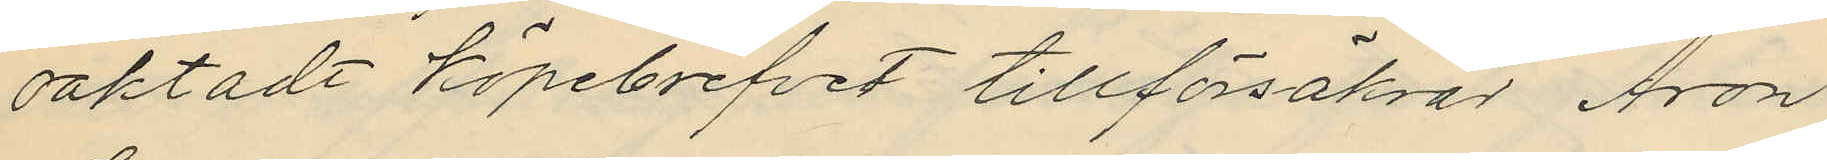oaktadt köpebrefvet tillförsäkrar Aron
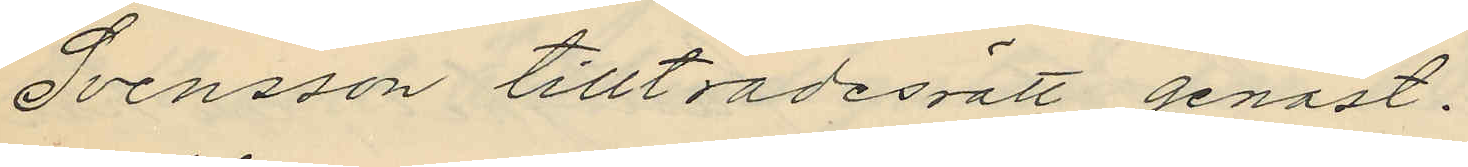Svensson tillträdesrätt genast.
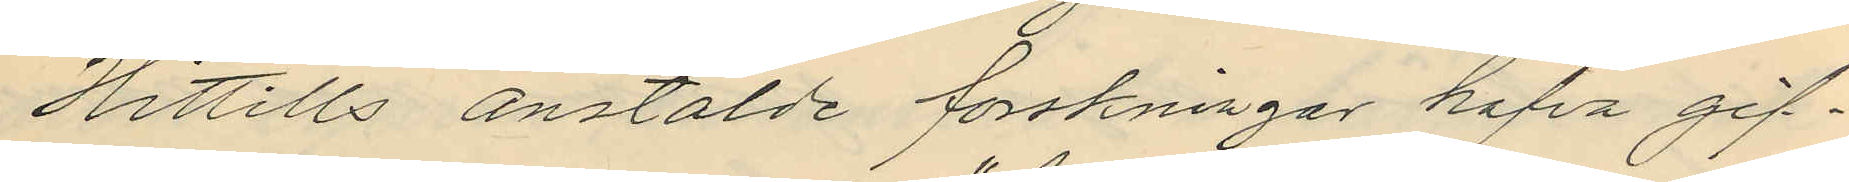Hittills anstälde forskningar hafva gif¬
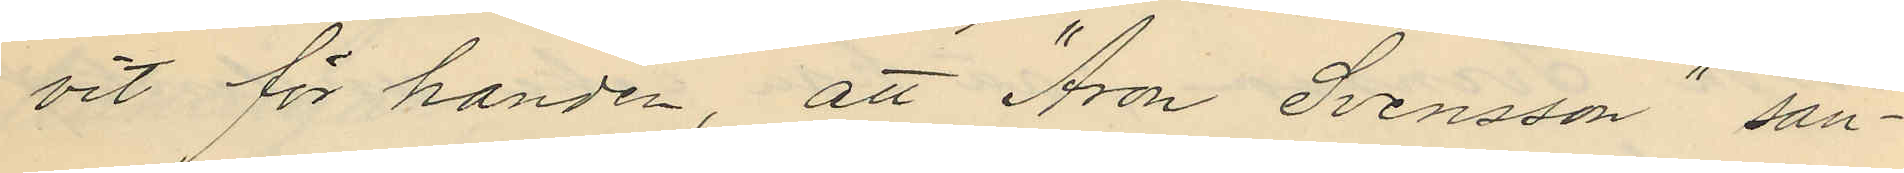vit för handen, att "Aron Svensson" san¬
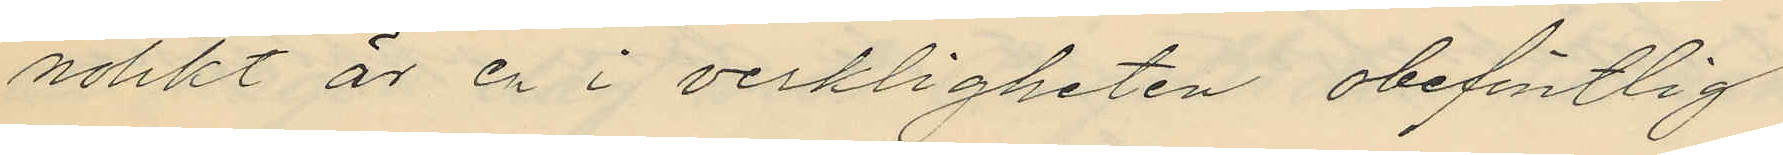nolikt är en i verkligheten obefintlig
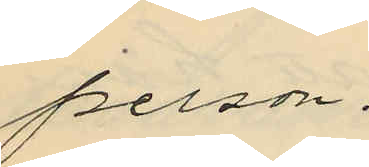person.
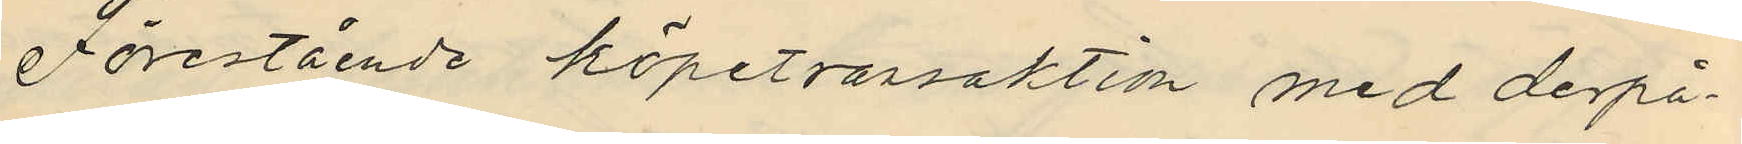Förestående köpetransaktion med derpå¬
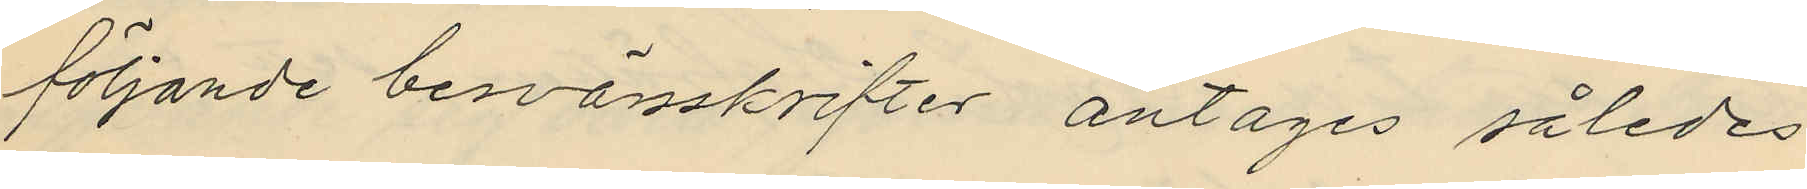följande besvärsskrifter antages således
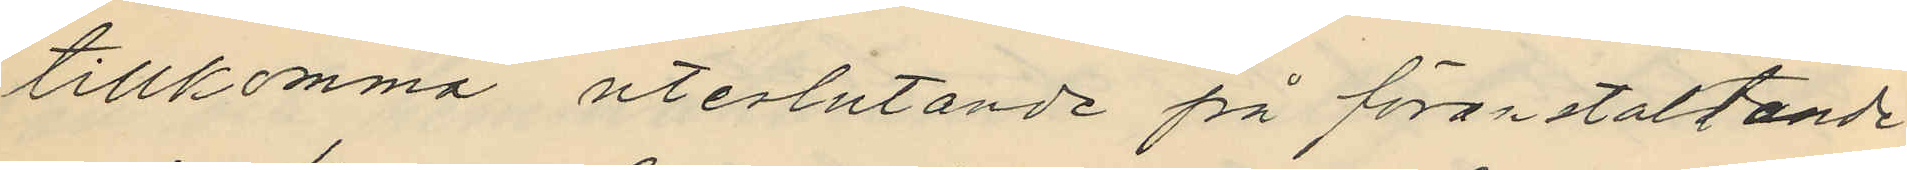tillkomma uteslutande på föranstaltande
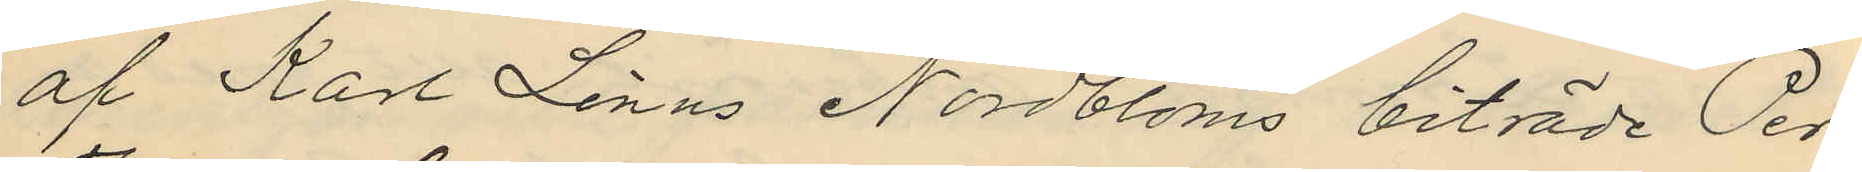af Karl Linus Nordbloms biträde Per
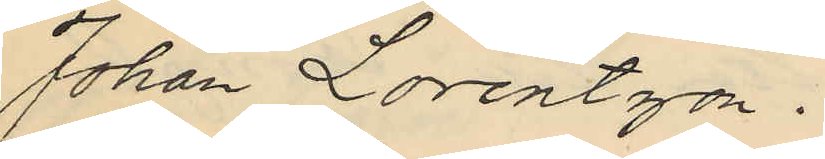Johan Lorentzon.
